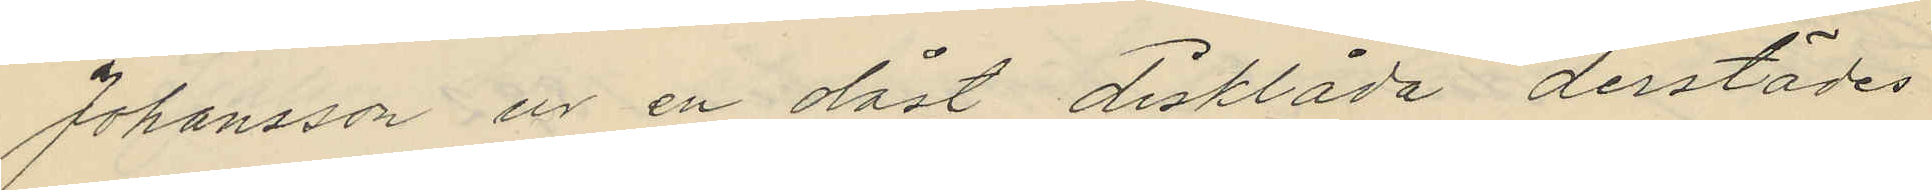Johansson  en olåst disklåda derstädes
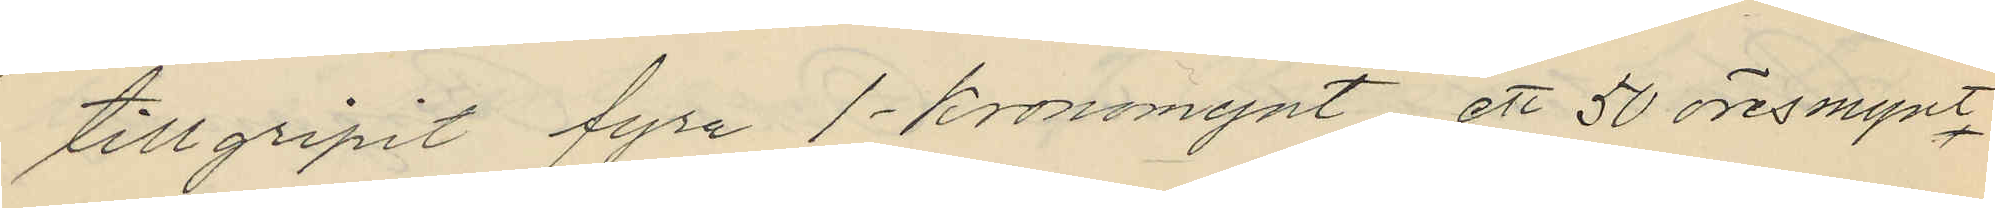tillgripit fyra 1-kronomynt, ett 50 öresmynt,
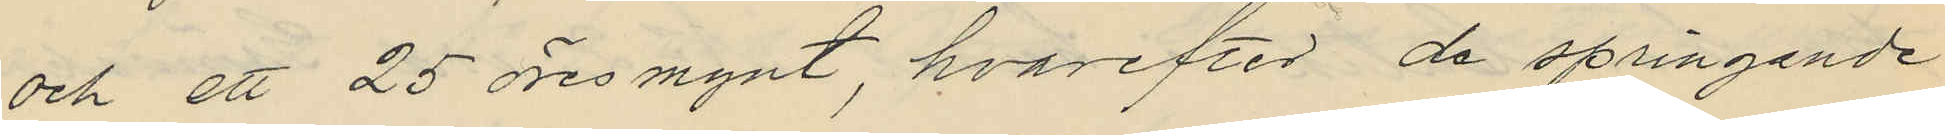och ett 25 öresmynt, hvarefter de springande
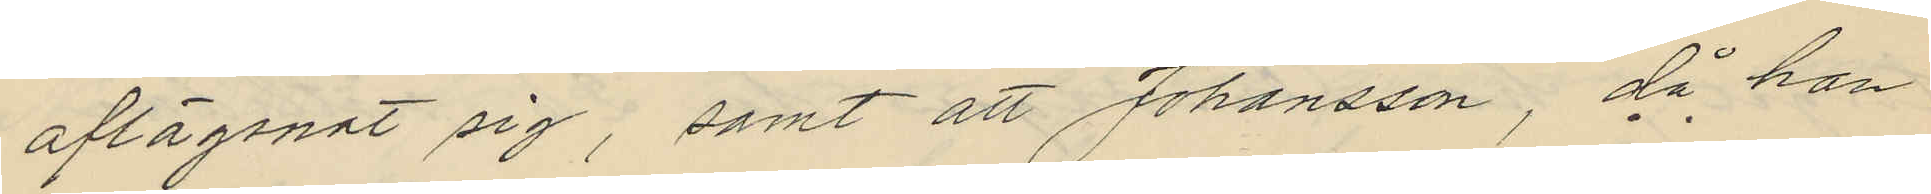aflägsnat sig, samt att Johansson, då han
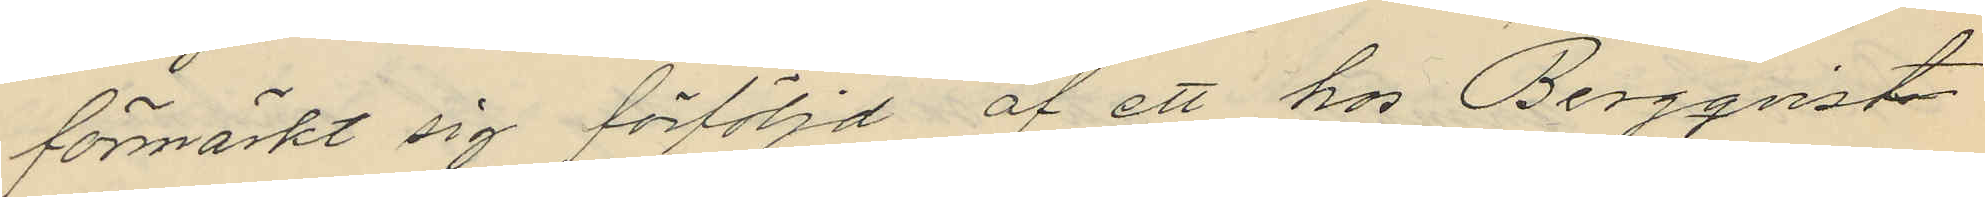förmärkt sig förföljd af ett hos Bergqvist
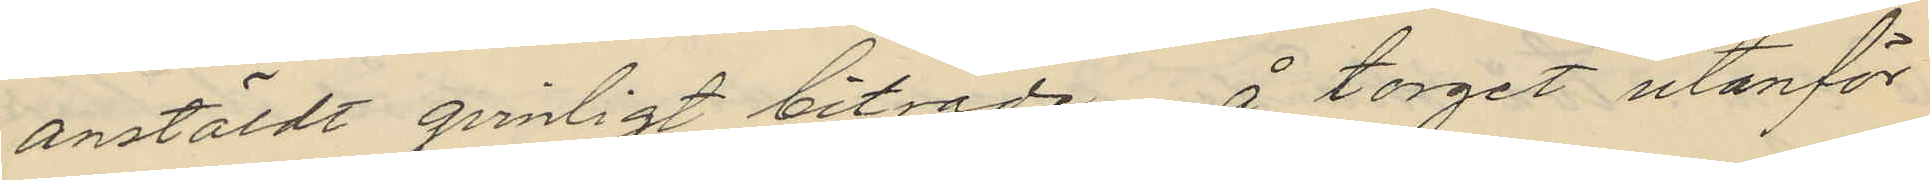anstäldt qvinligt biträde å torget utanför
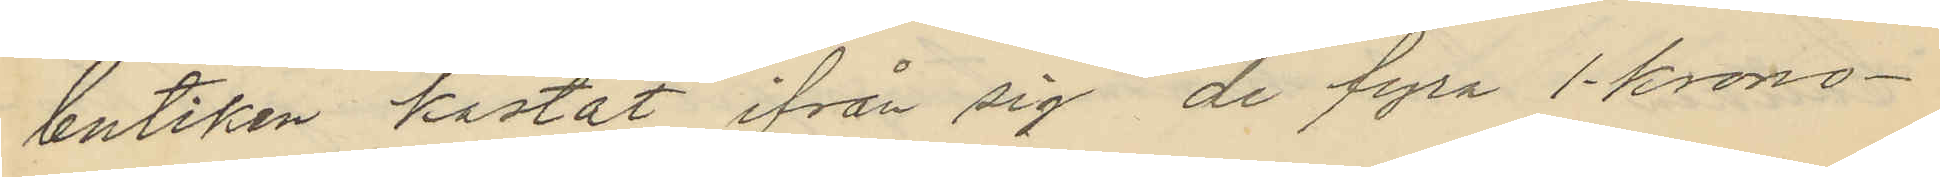butiken kastat ifrån sig de fyra 1-krono¬
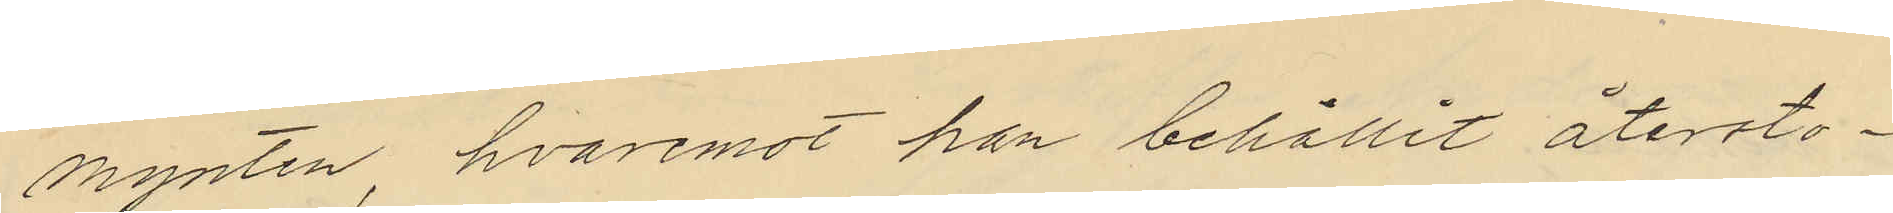mynten, hvaremot han behållit återsto¬
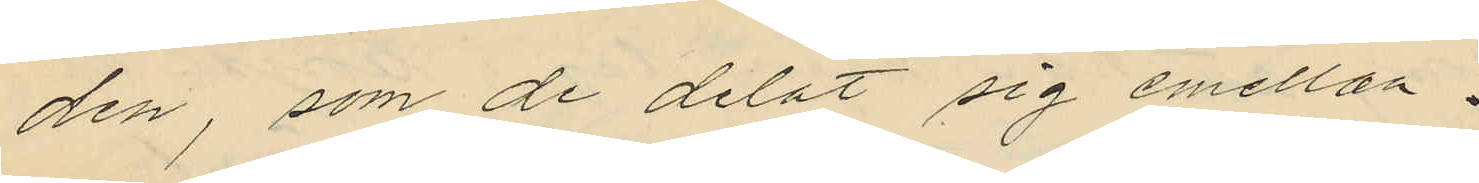den, som de delat sig emellan.
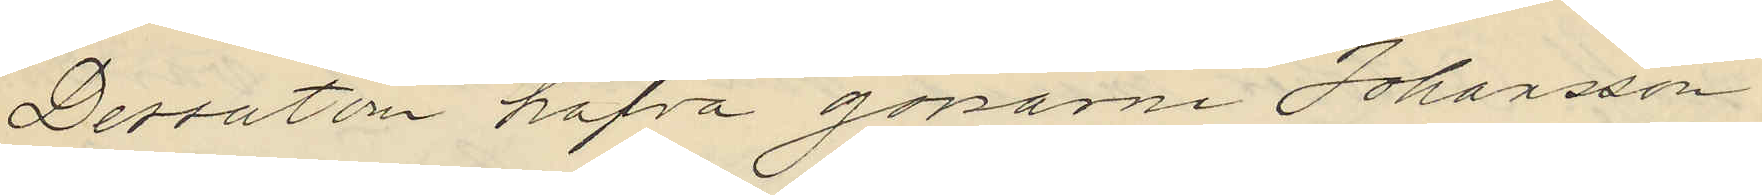Dessutom hafva gossarne Johansson
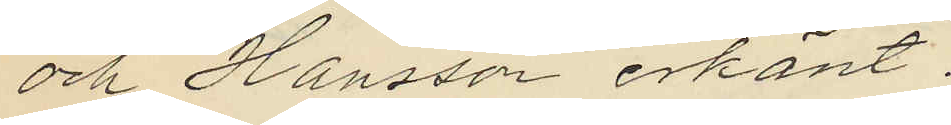och Hansson erkänt.
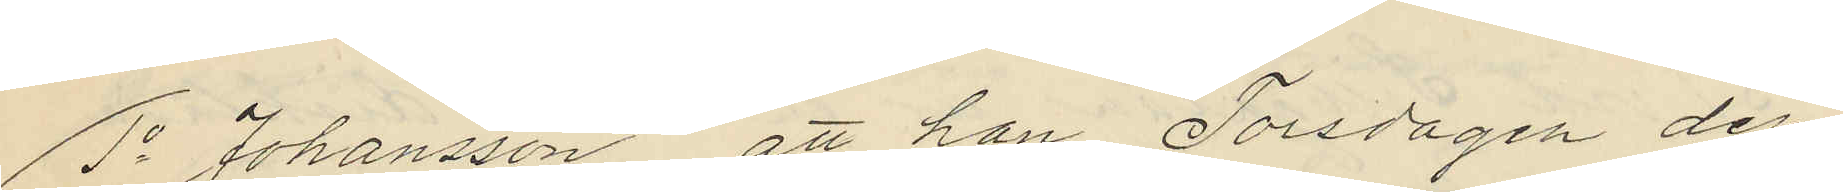1o Johansson att han Torsdagen den
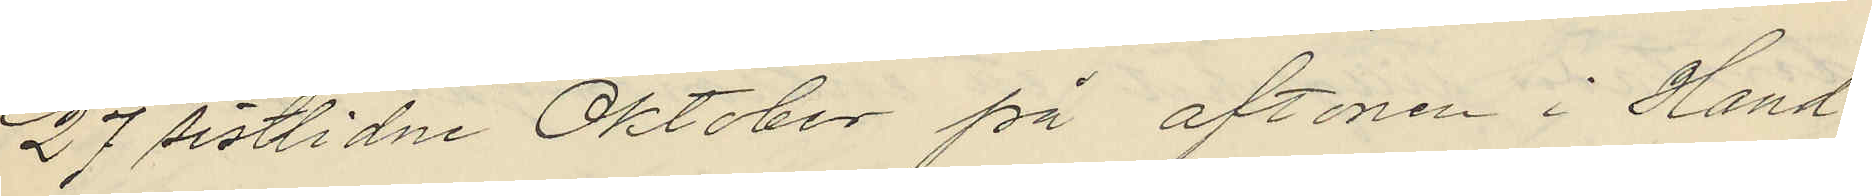27 sistlidne Oktober på aftonen i Hand¬
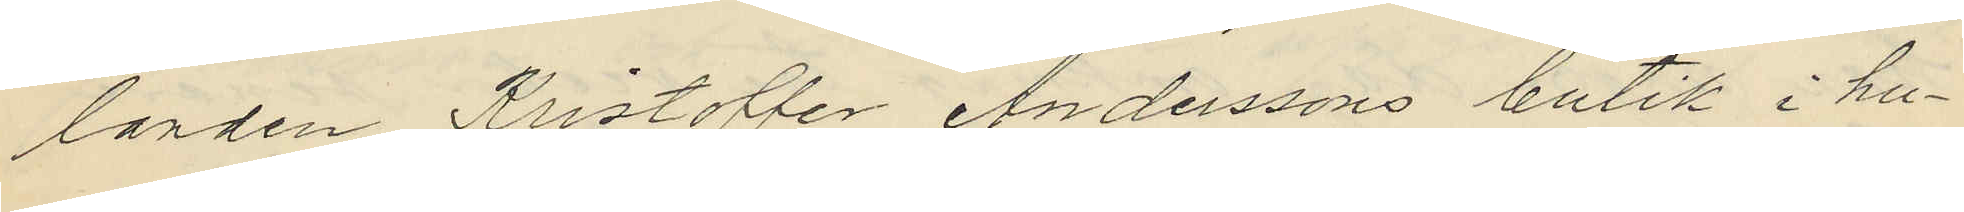landen Kristoffer Anderssons butik i hu¬
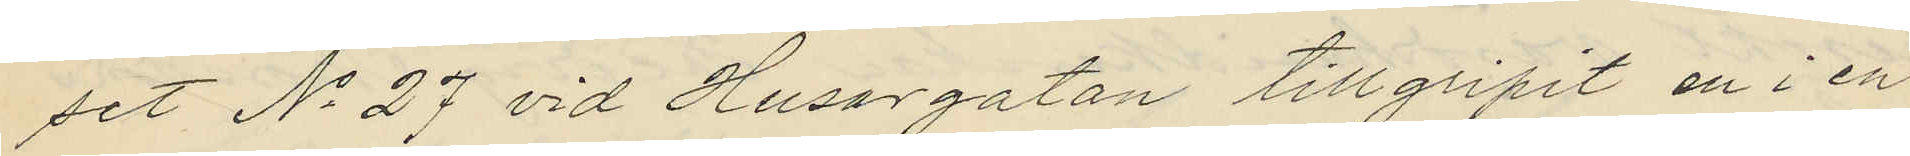set No 27 vid Husargatan tillgripit en i en
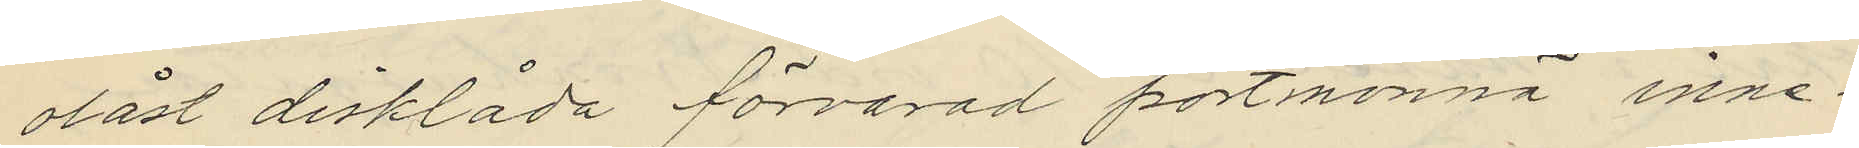olåst disklåda förvarad portmonnä inne¬
